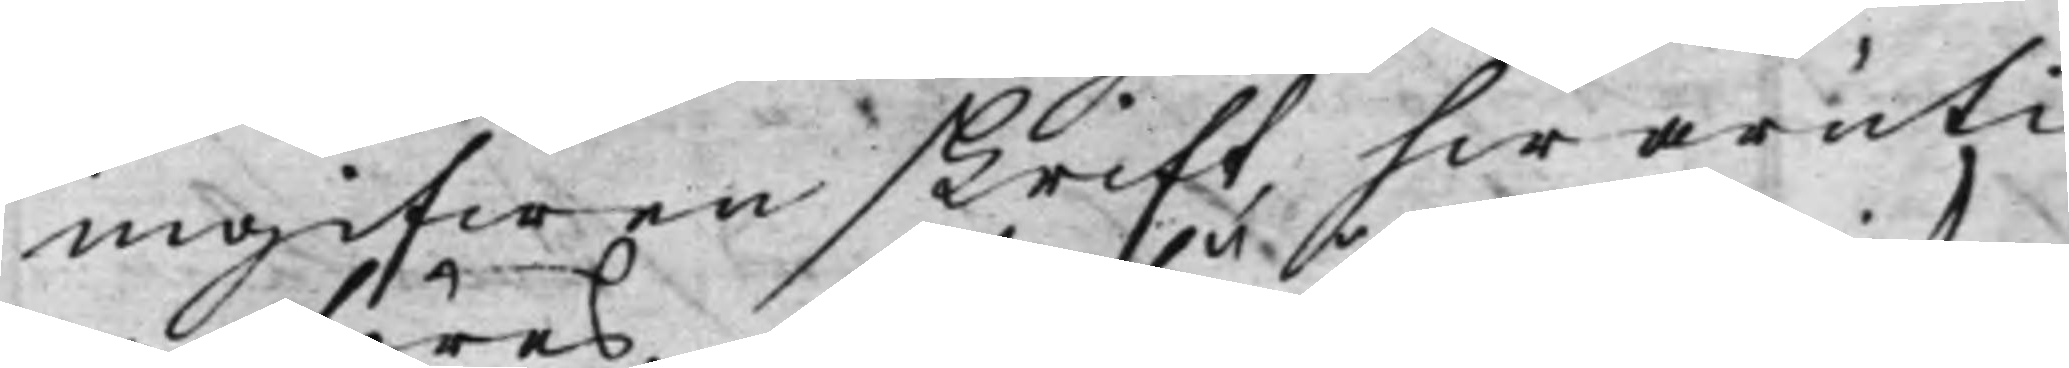ingifwen skrift, hwaruti
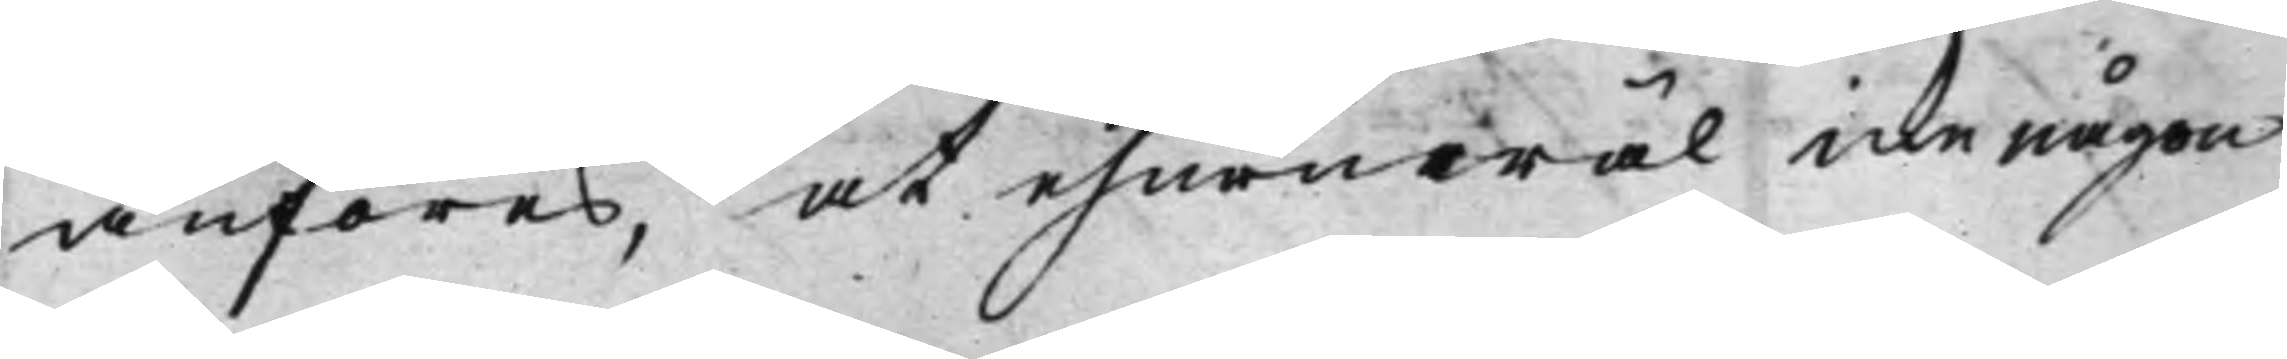anföres, at ehuruwäl icke någon
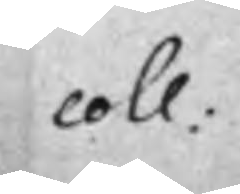coll:
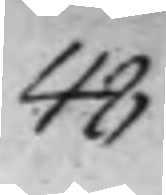48
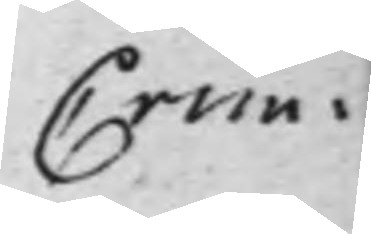Crim:
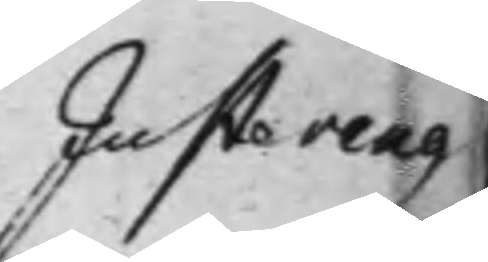Justering
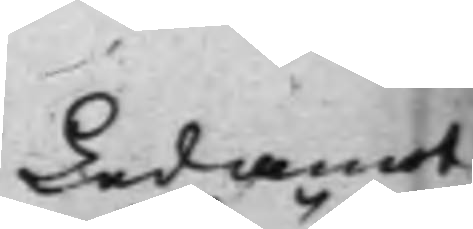Ledamot
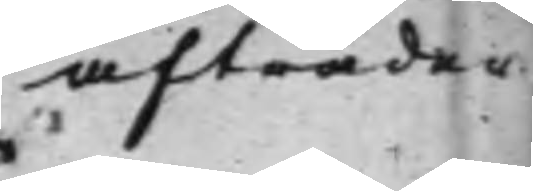afträder
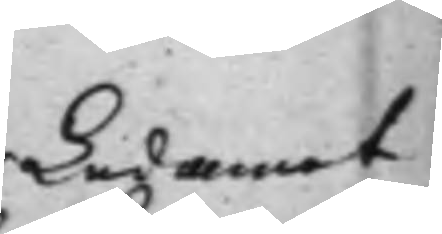Ledamot
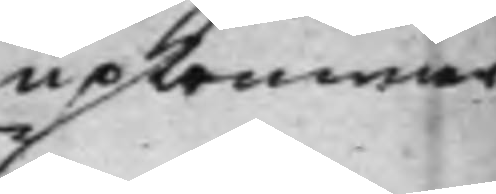upkommer
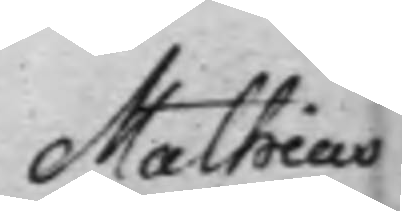Mathias
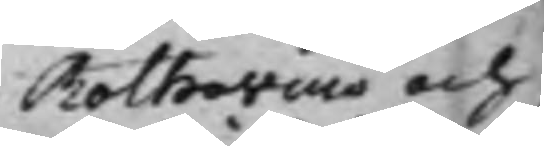Rothovius och
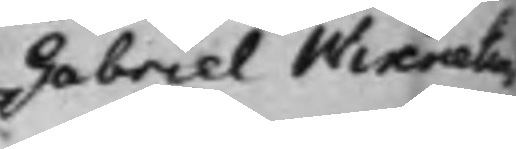Gabriel Wixnelius
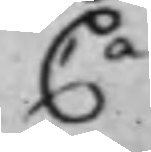Ca
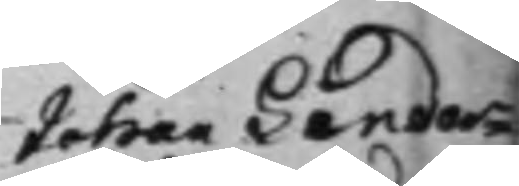Johan Linder¬
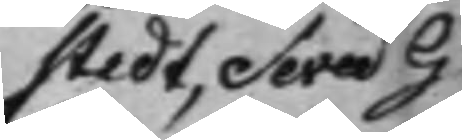stedt, Seved G
